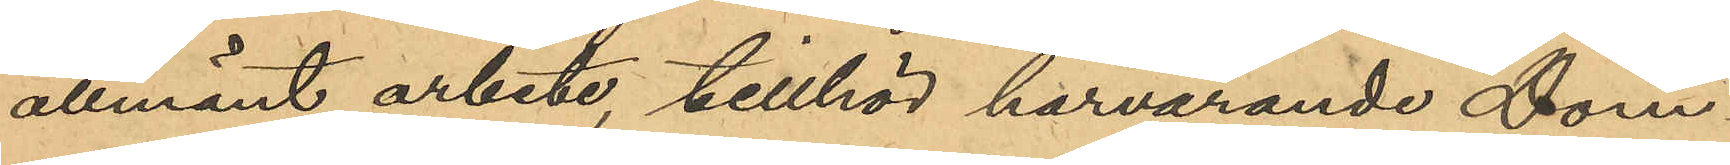allmänt arbete, tillhör härvarande Dom¬
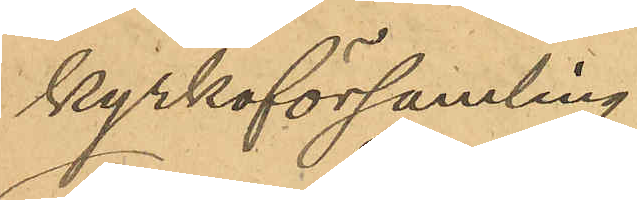kyrkoförsamling;
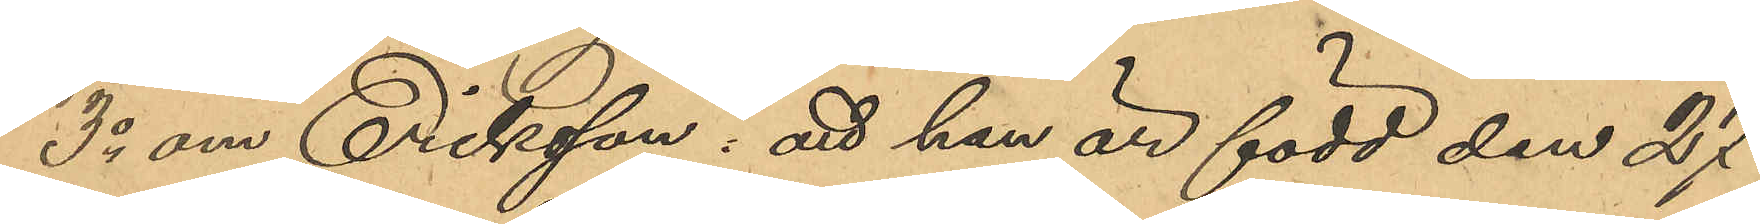3o om Eriksson: att han är född den 27
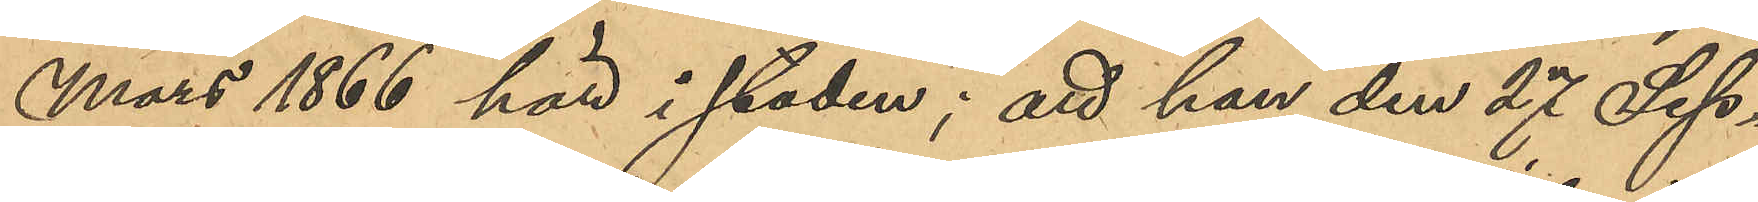Mars 1866 här i staden; att han den 27 Sep¬
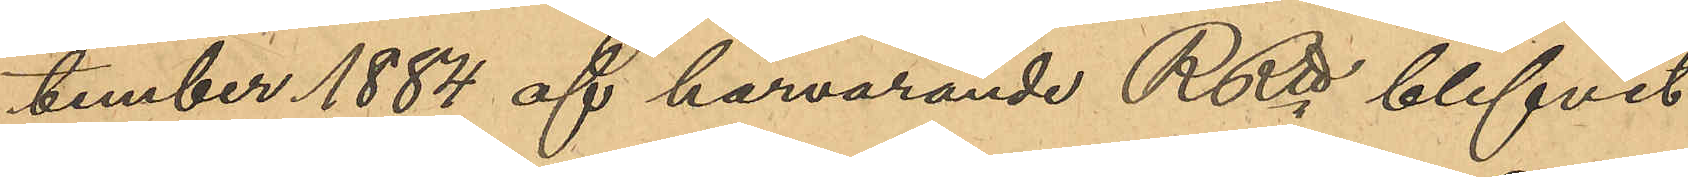tember 1884 af härvarande RRtt blifvit
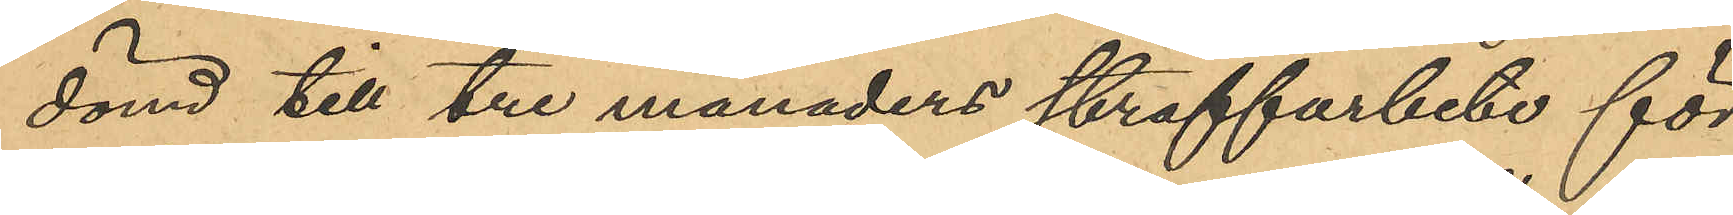dömd till tre månaders straffarbete för
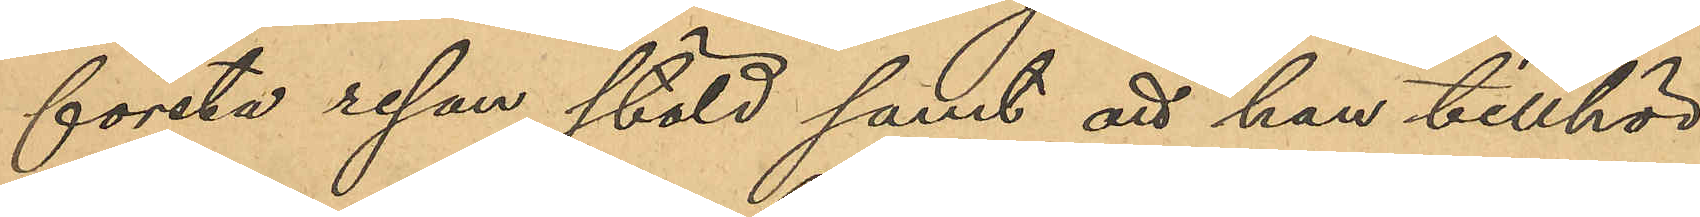första resan stöld samt att han tillhör
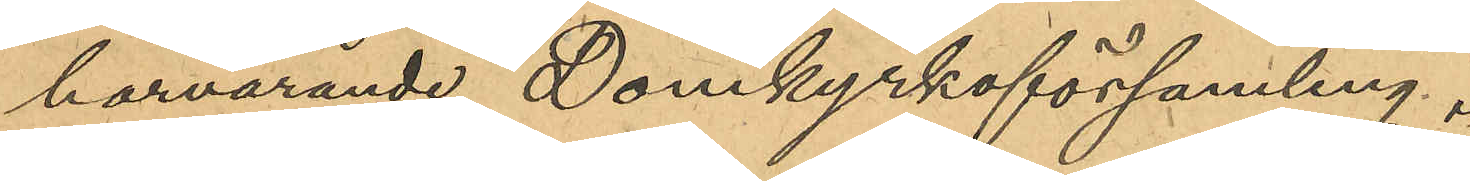härvarande Domkyrkoförsamling.
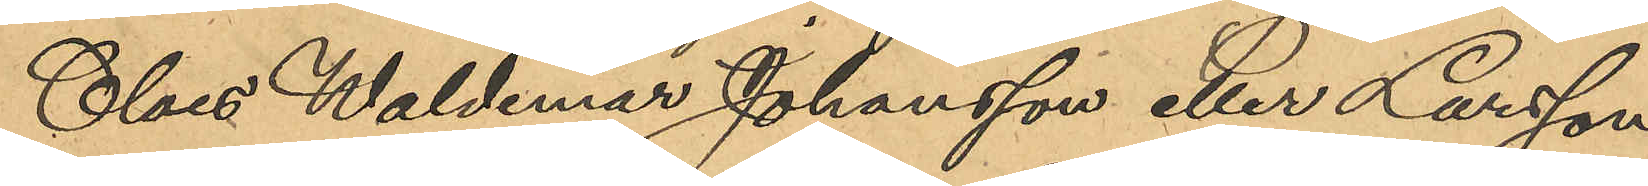Claes Waldemar Johansson eller Larsson
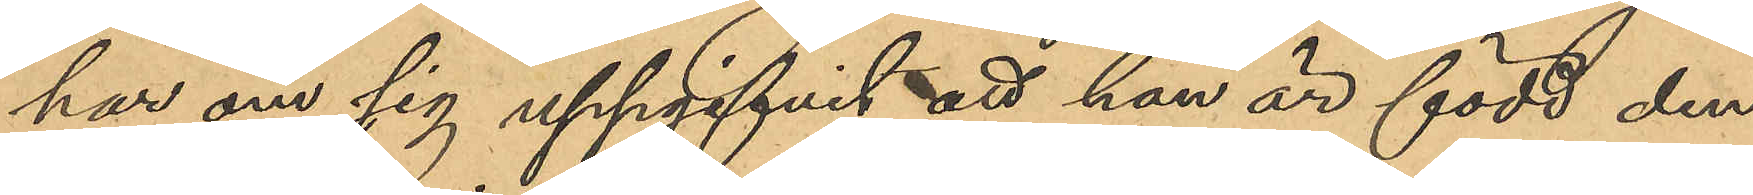har om sig uppgifvit att han är född den
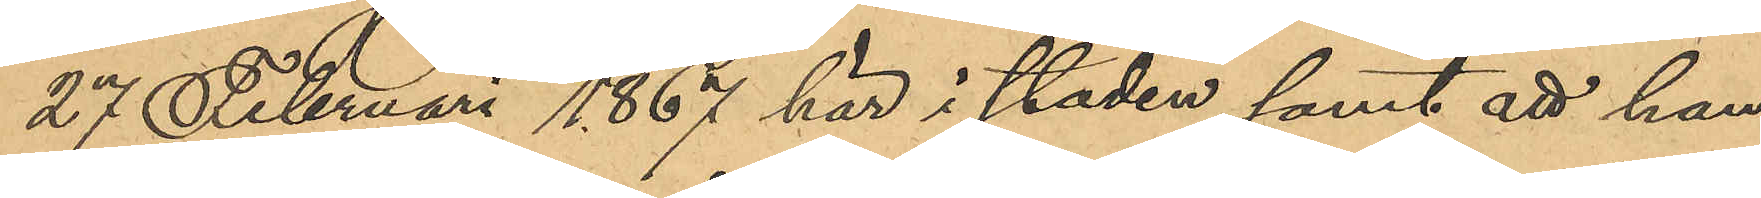27 Februari 1867 här i staden samt att han
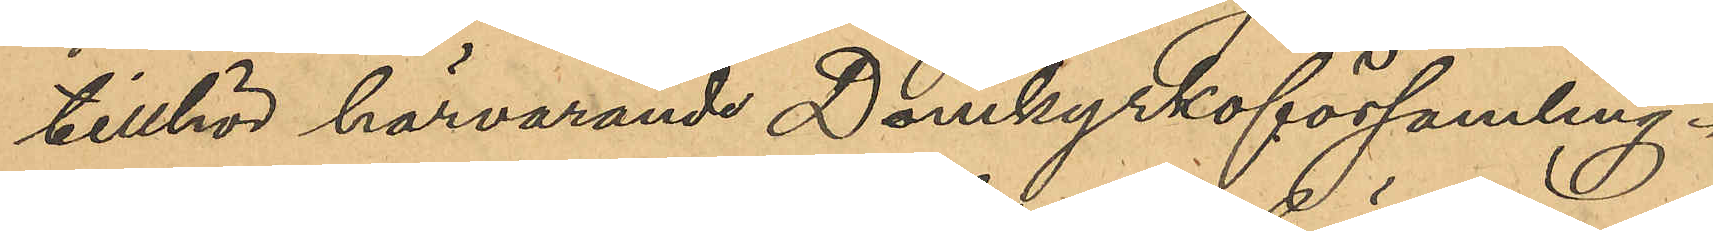tillhör härvarande Domkyrkoförsamling.
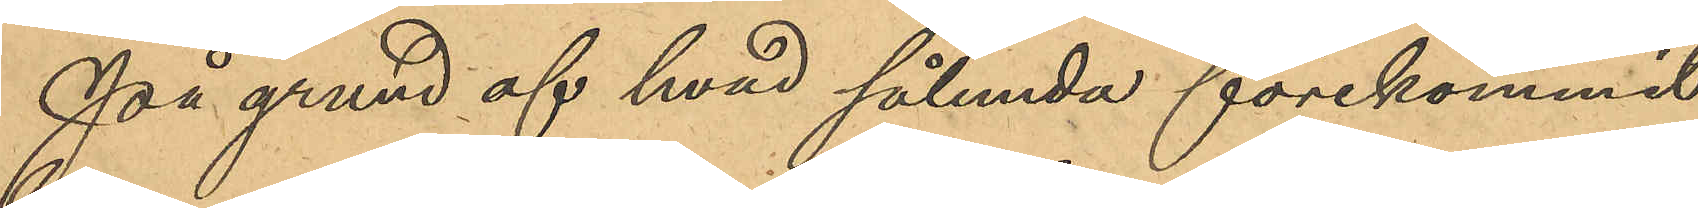På grund af hvad sålunda förekommit
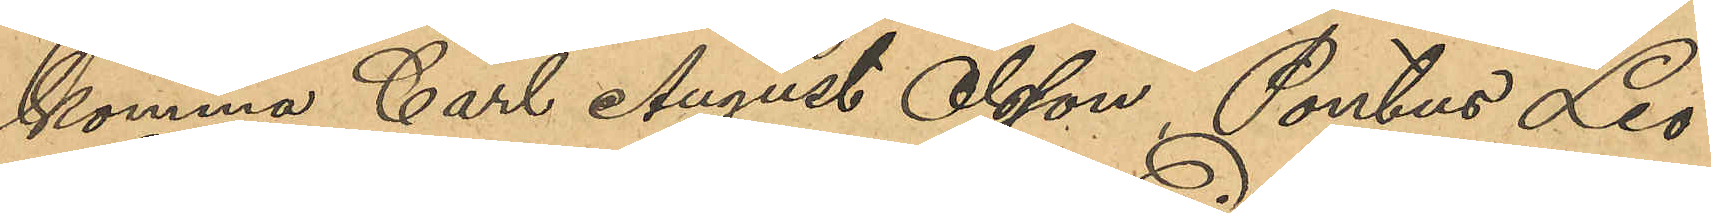komma Carl August Olsson, Pontus Leo¬
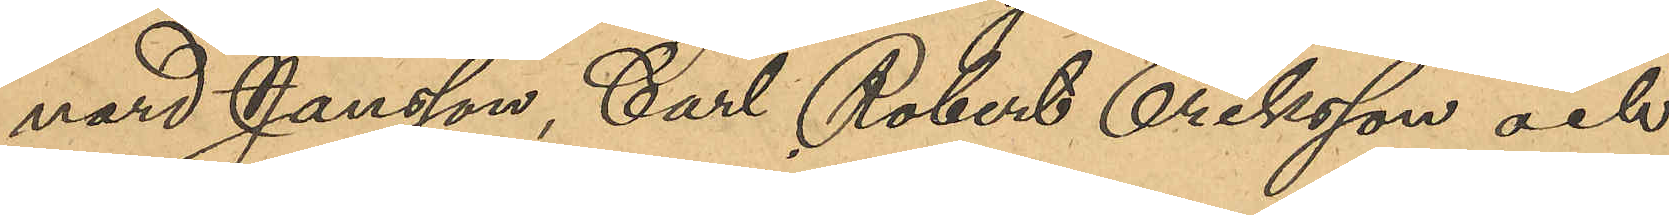nard Jansson, Carl Robert Eriksson och
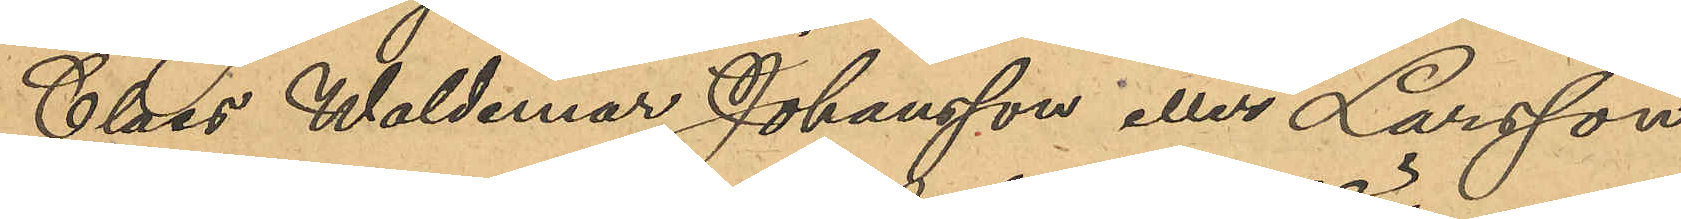Claes Waldemar Johansson eller Larsson
